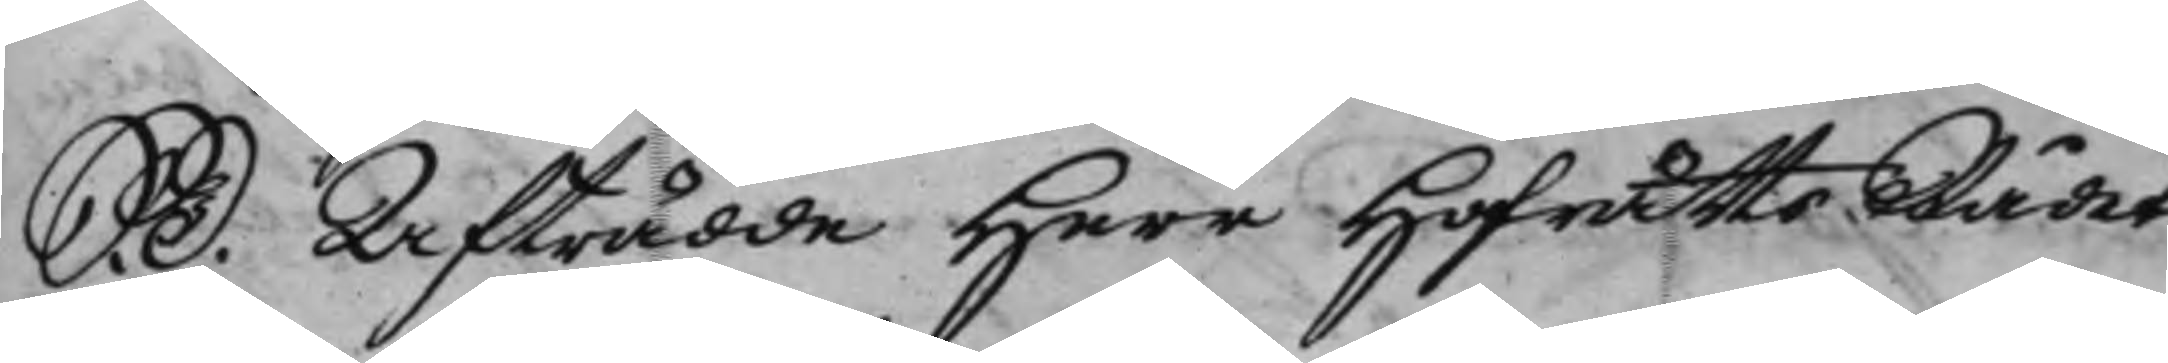S. D. Afträdde Herr HofrättsRådet
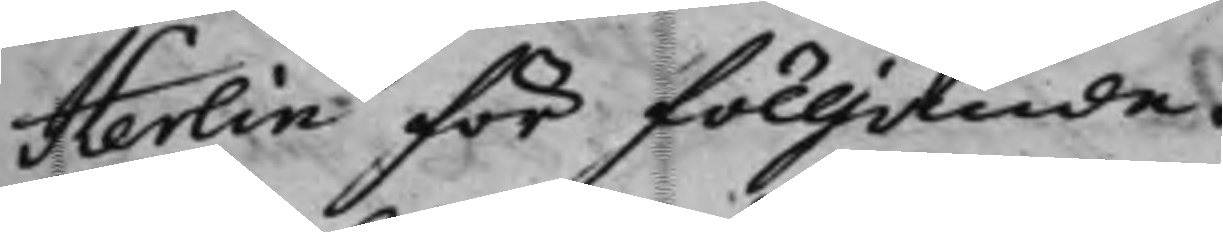Herlin för fölljande.
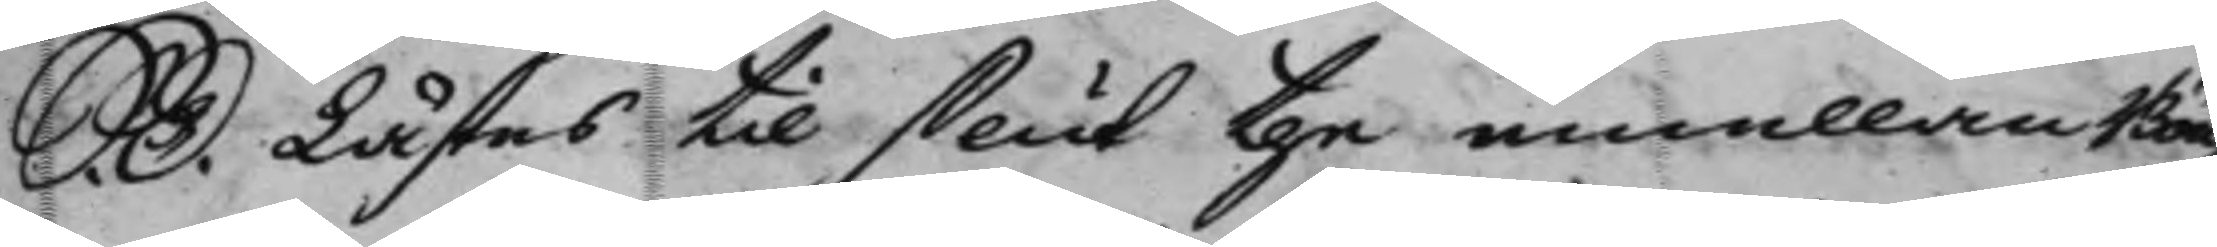S. D. Lästes til slut the emellan Bön¬
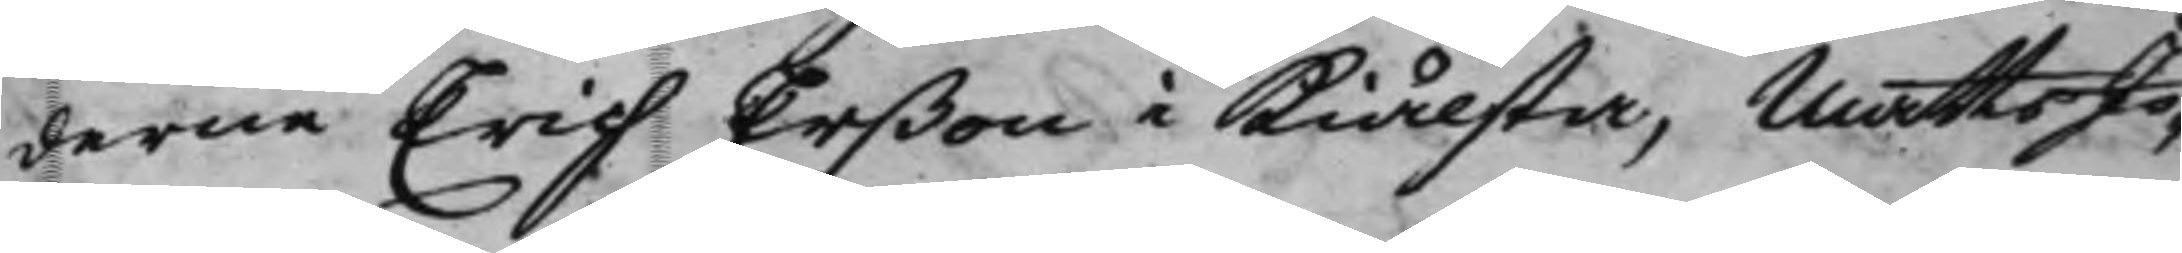derne Erich Erßon i Kiälsta, Matts Jo¬
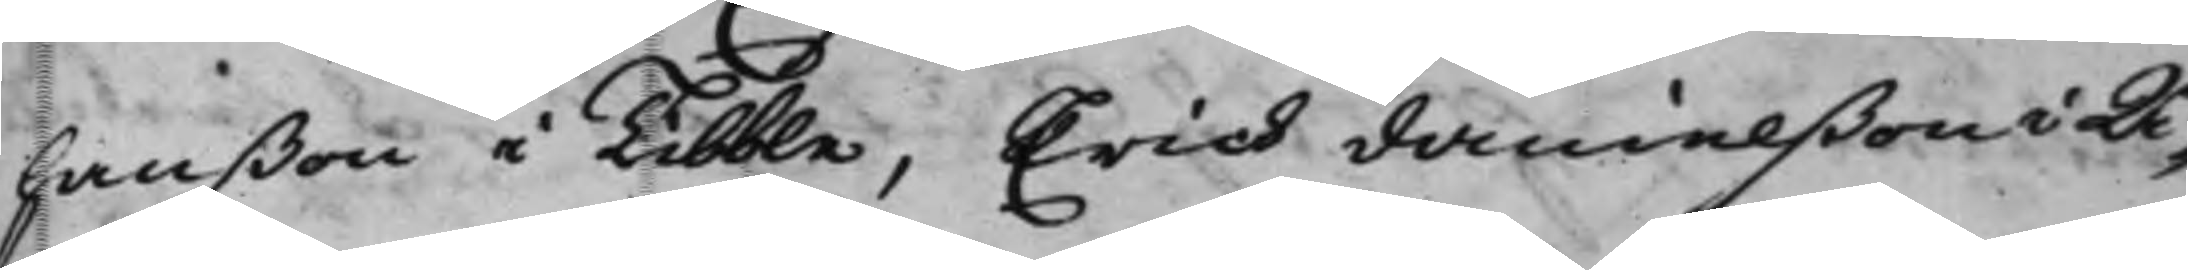hanßon i Tibble, Erich Danielßon i Å¬
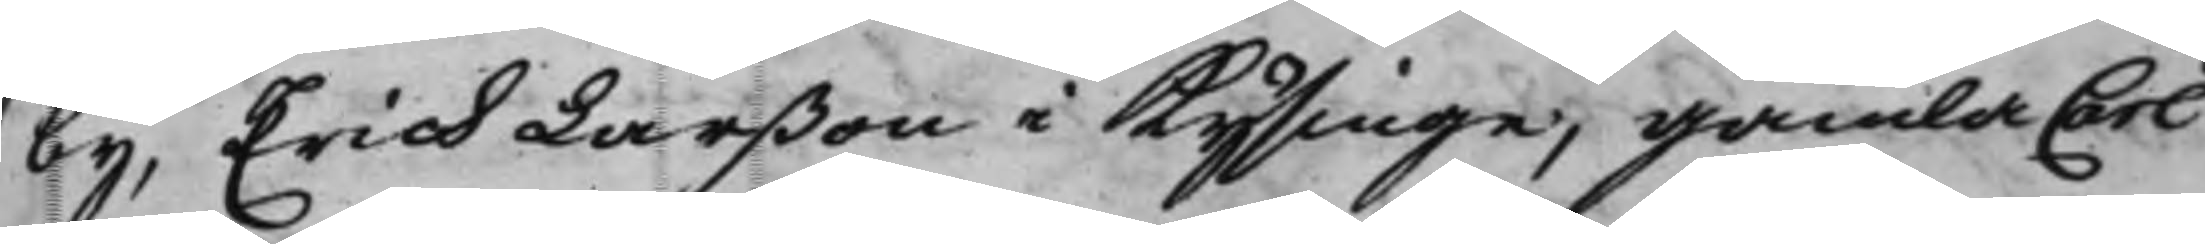by, Erich Larßon i Kysinge, gamla Carl
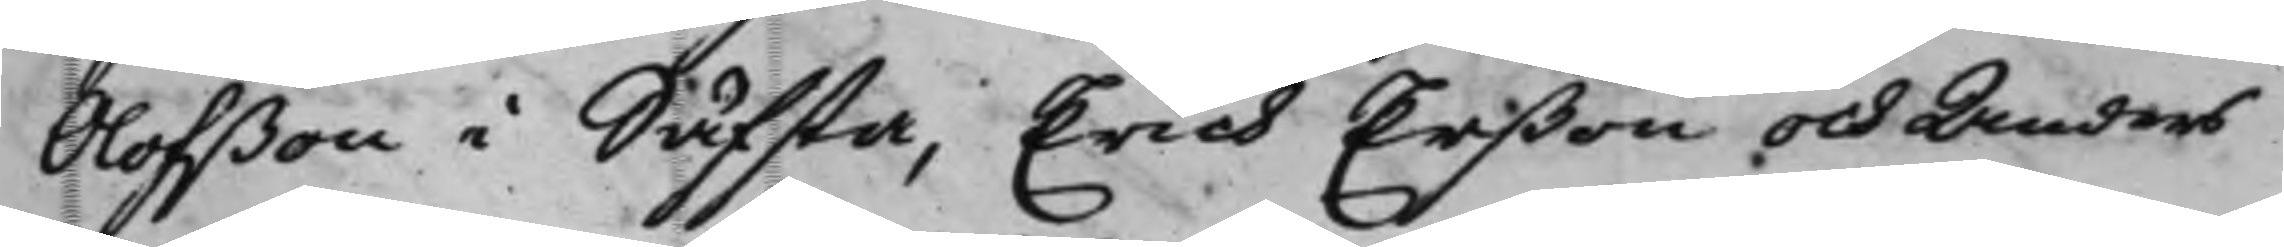Olofßon i Säfsta, Erich Erßon och Anders
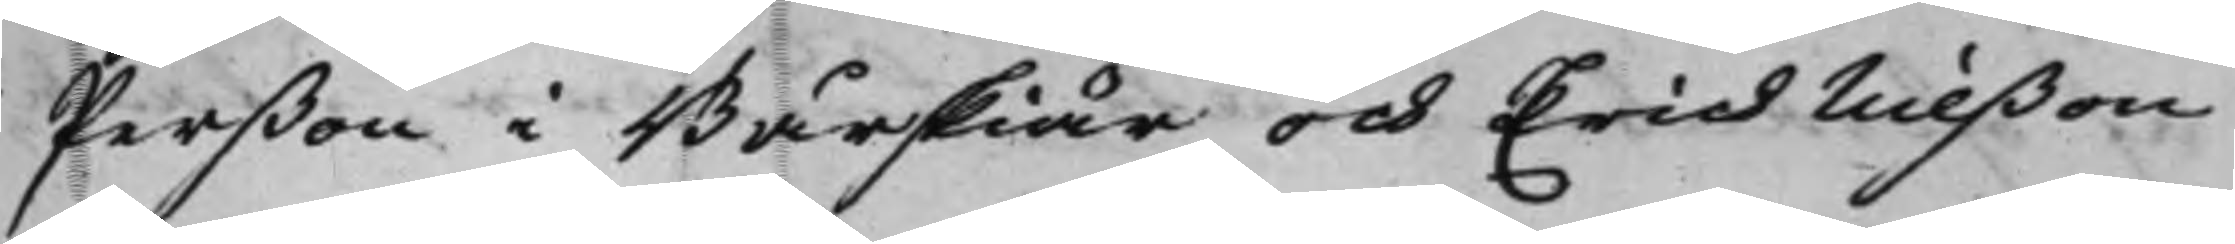Perßon i Bårskiär och Erich Nilßon
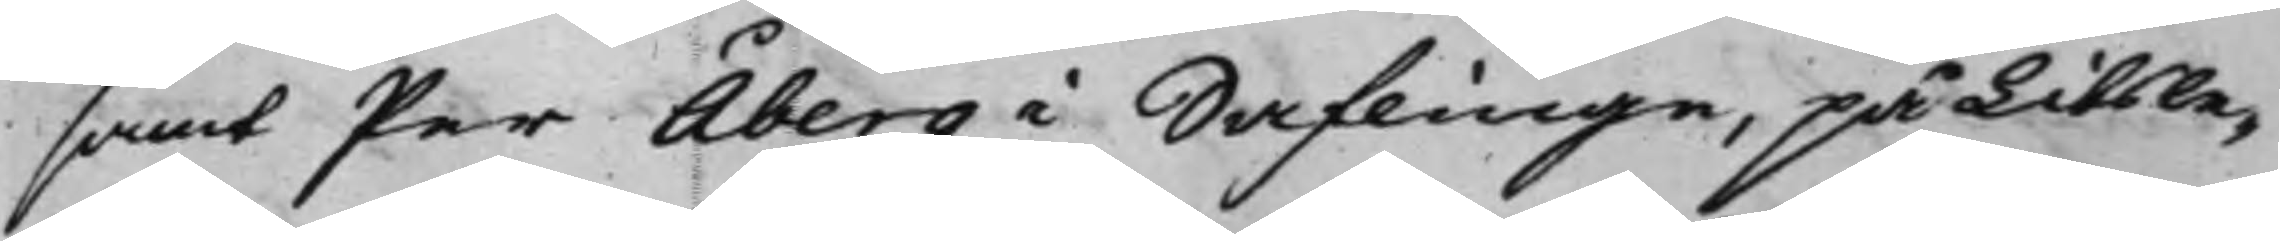samt Per Åberg i Saflinge, på Litsle¬
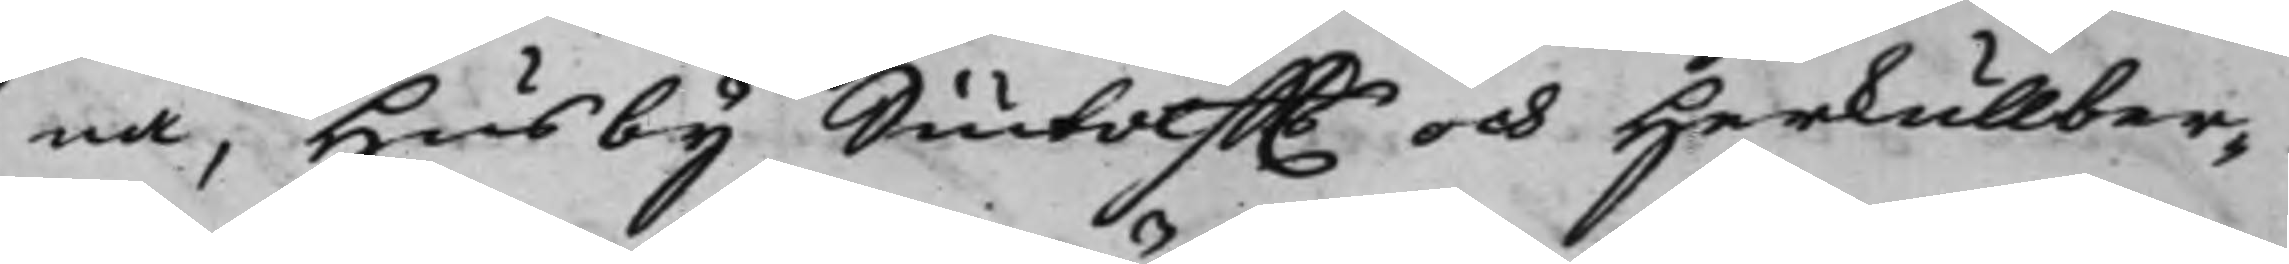na, Husby Siutolffts och Herkullber¬
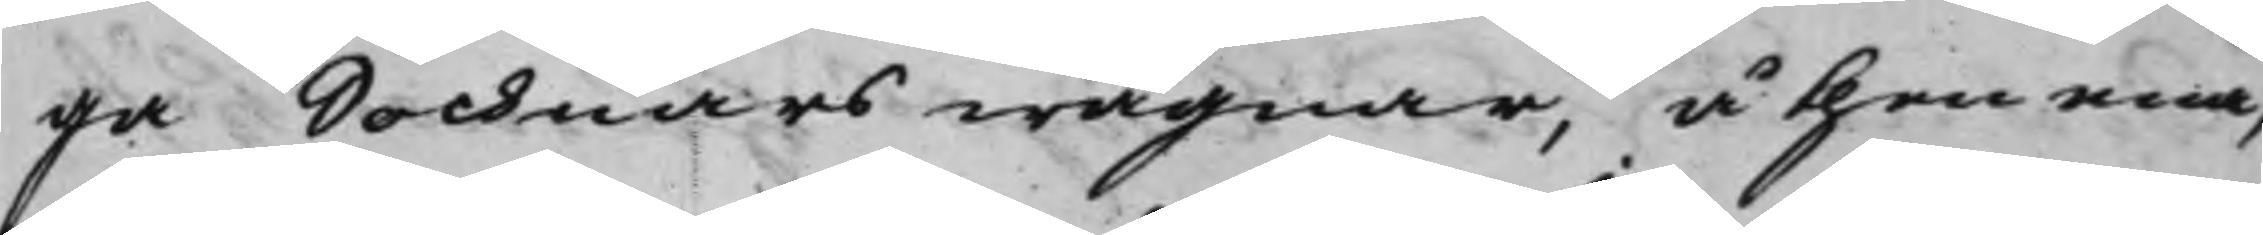ga Sochnars wägnar, å then ena,
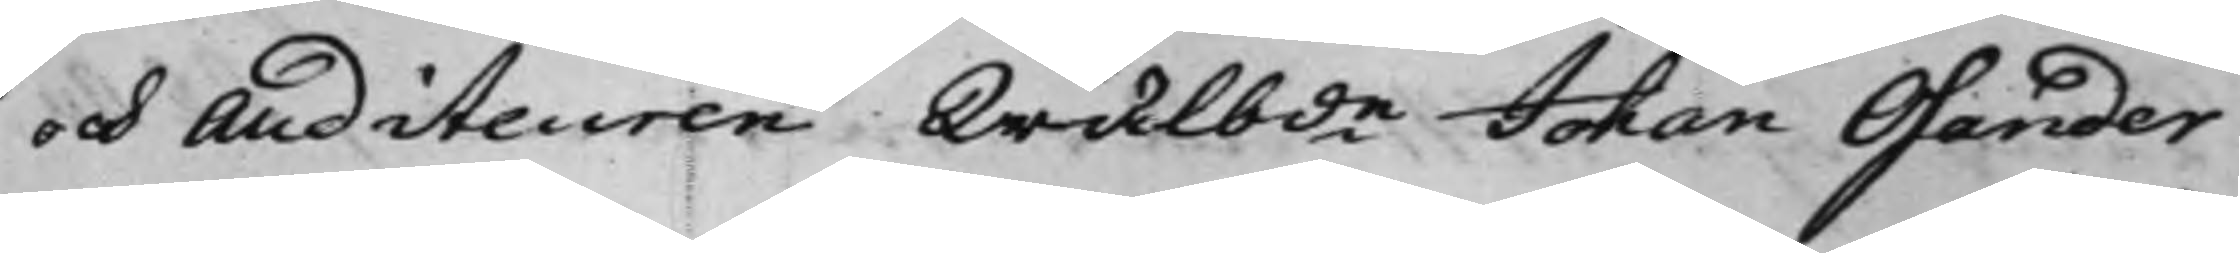och Auditeuren Wälbde Johan Osander
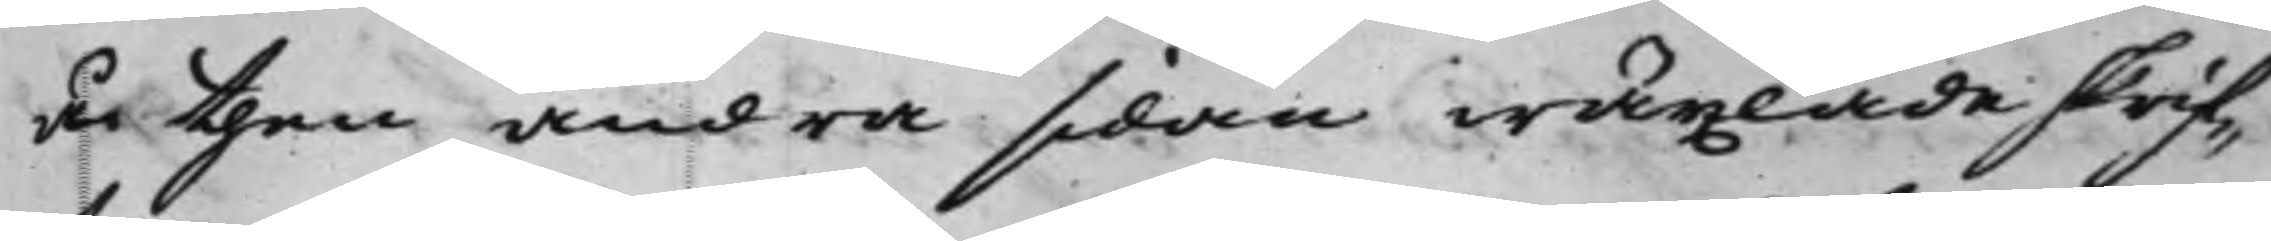å then andra sidan wäxlade skrif¬
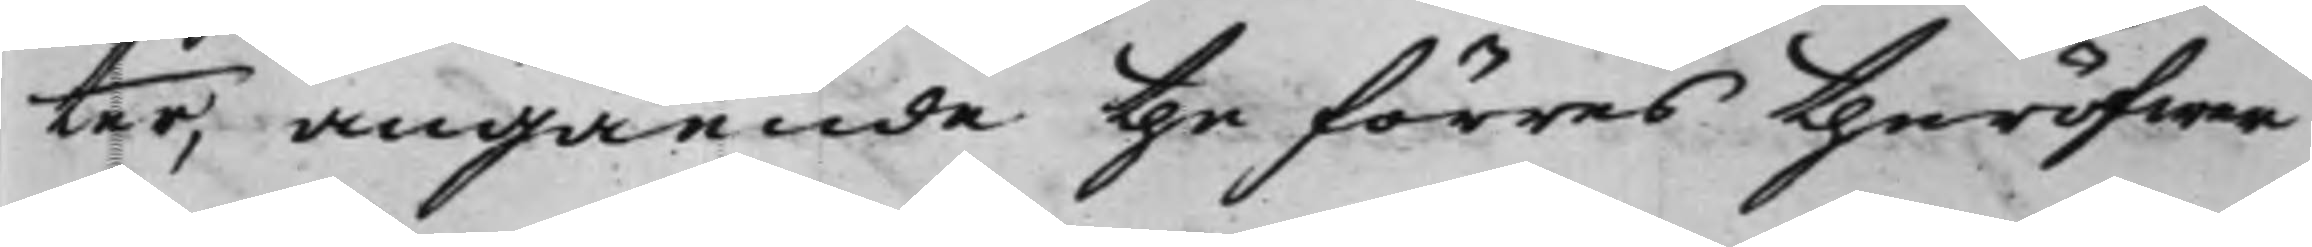ter, angående the förras theröfwer
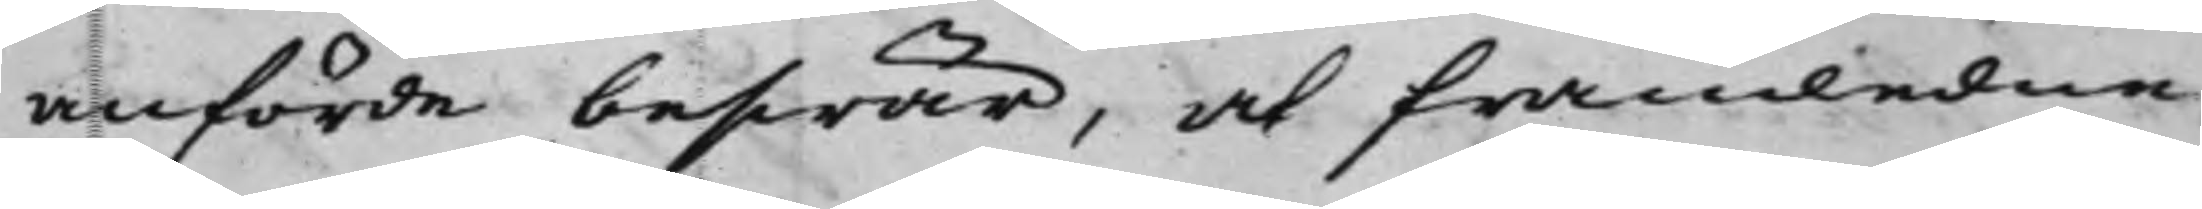anförde beswär, at framledne
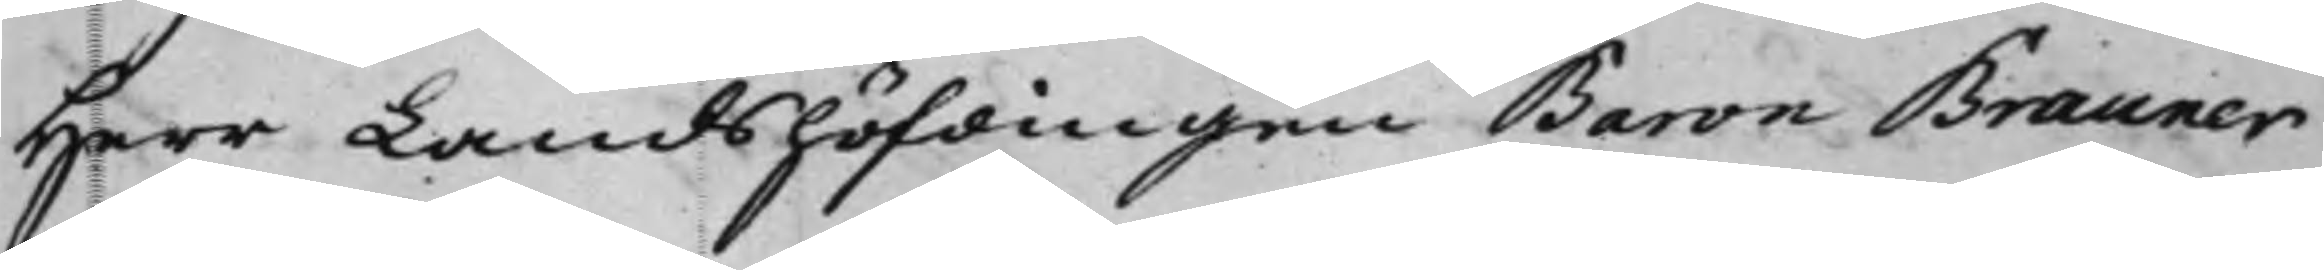Herr Landshöfdingen Baron Brauner
